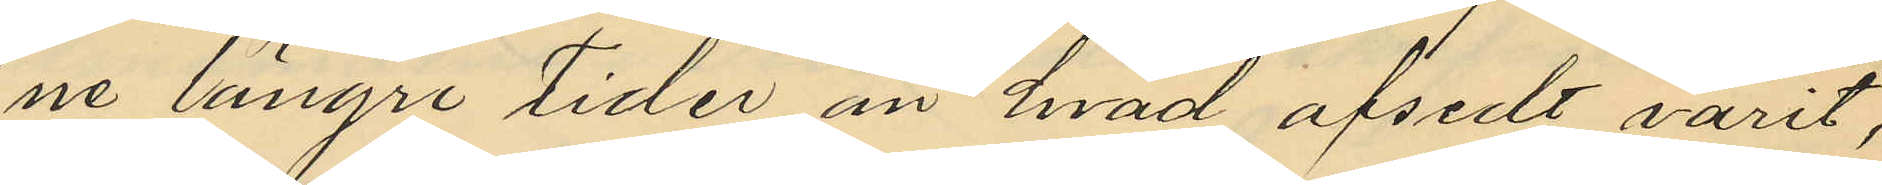ne längre tider än hvad afsedt varit;
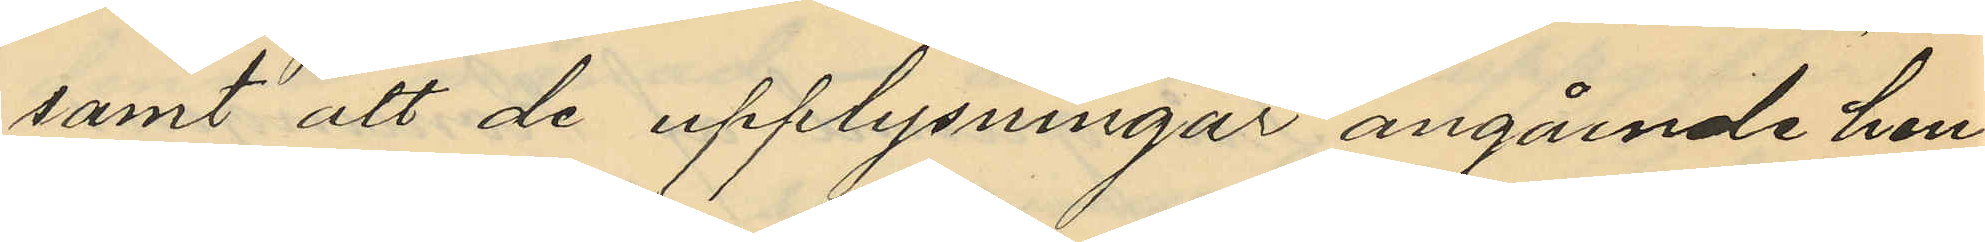samt att de upplysningar angående hen¬
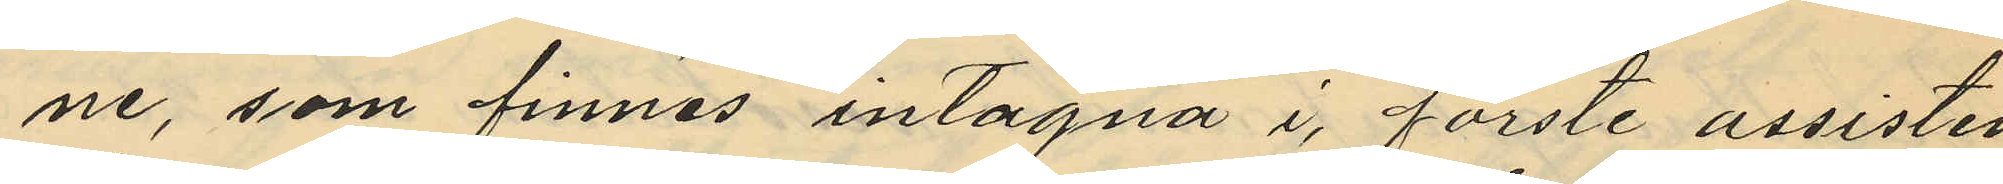ne, som finnas intagna i förste assisten¬
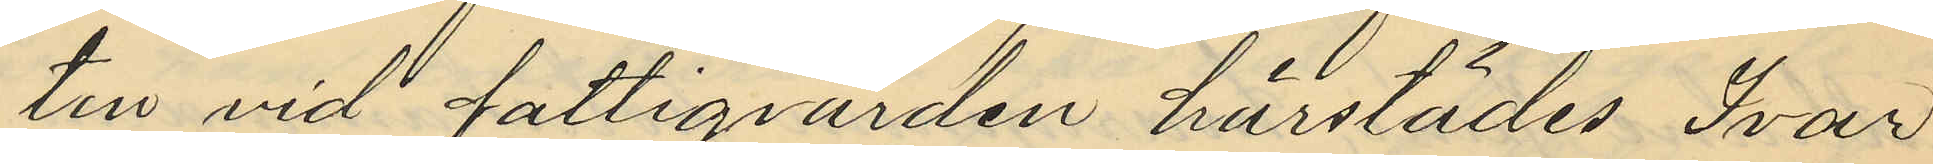ten vid fattigvården härstädes Ivar
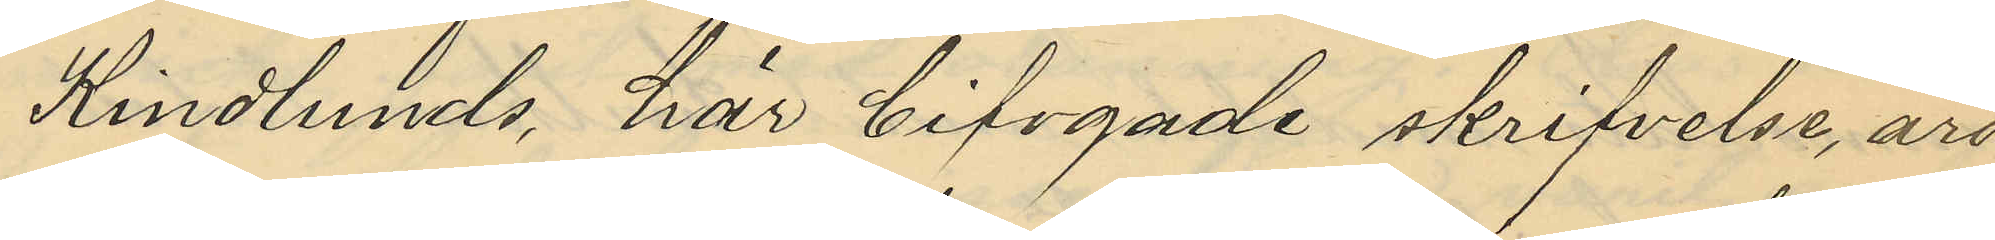Kindlunds här bifogade skrifvelse, äro
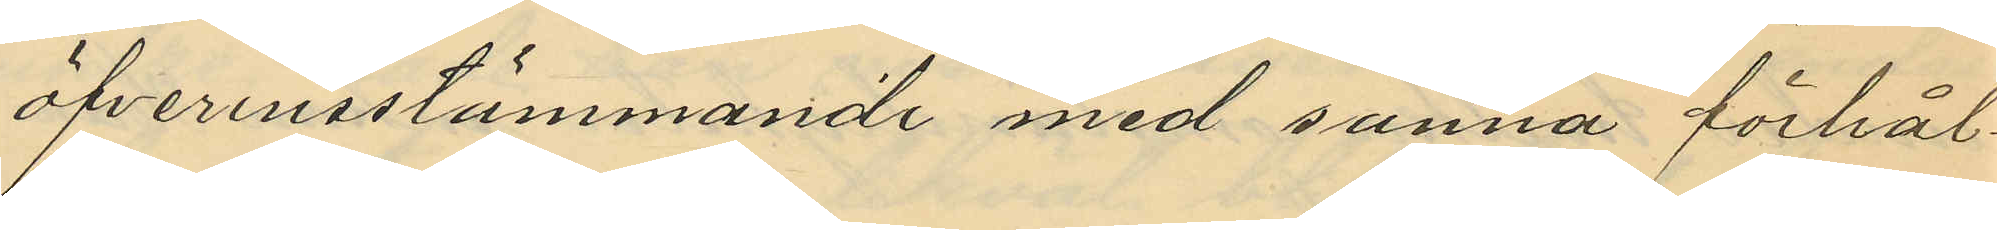öfverensstämmande med sanna förhål¬
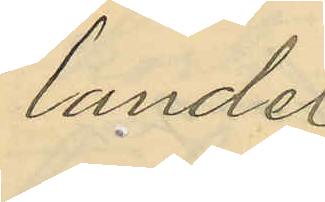landet.
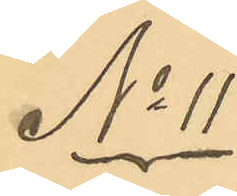No 11.
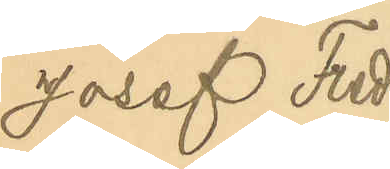Josef Fred¬
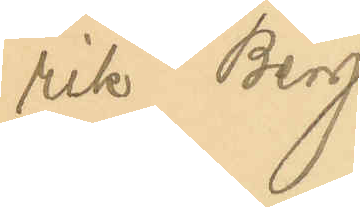rik Berg
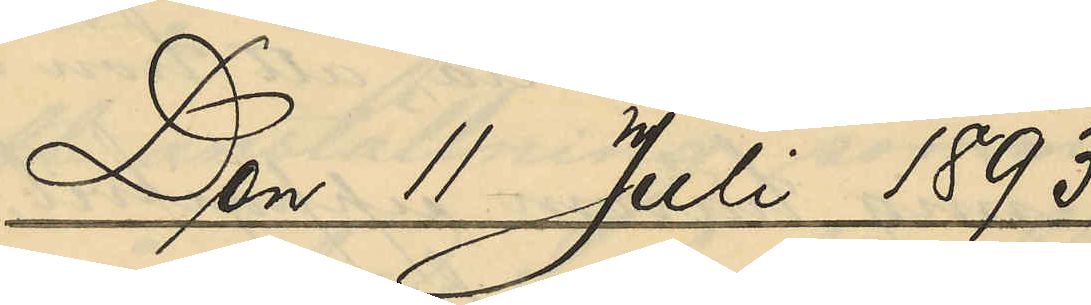Den 11 Juli 1893.
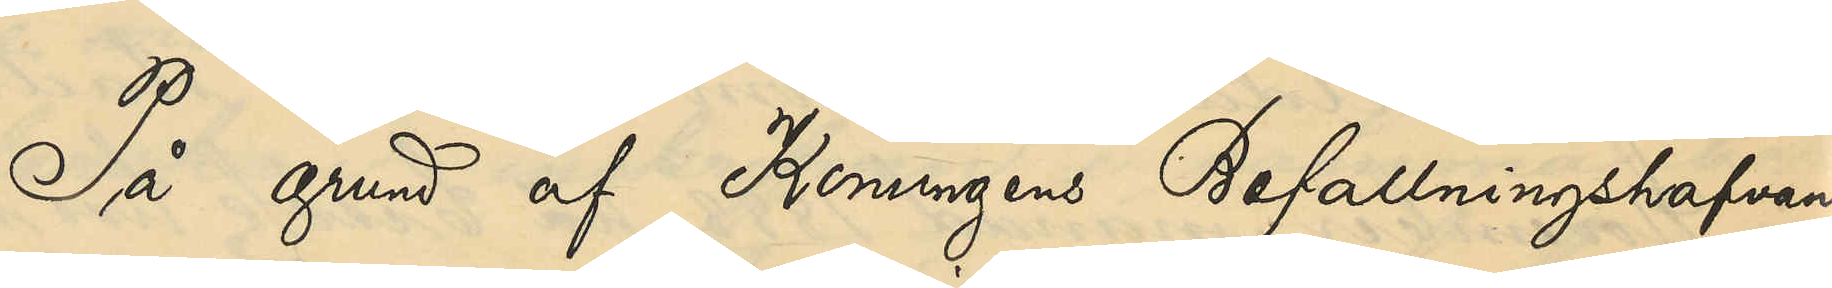På grund af Konungens Befallningshafan¬
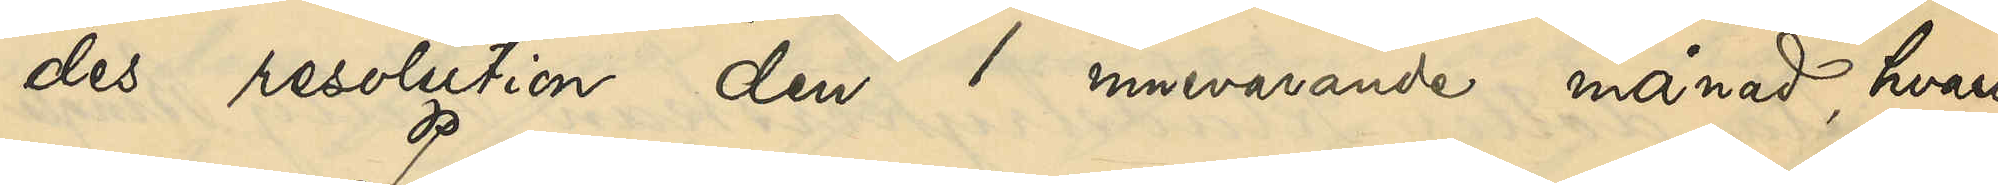des resolution den 1 innevarande månad, hvari¬
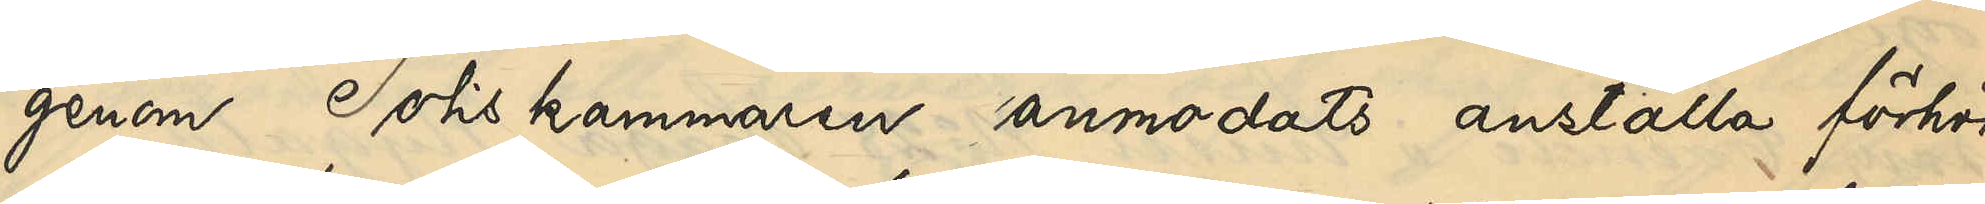genom Poliskammaren anmodats anställa förhör
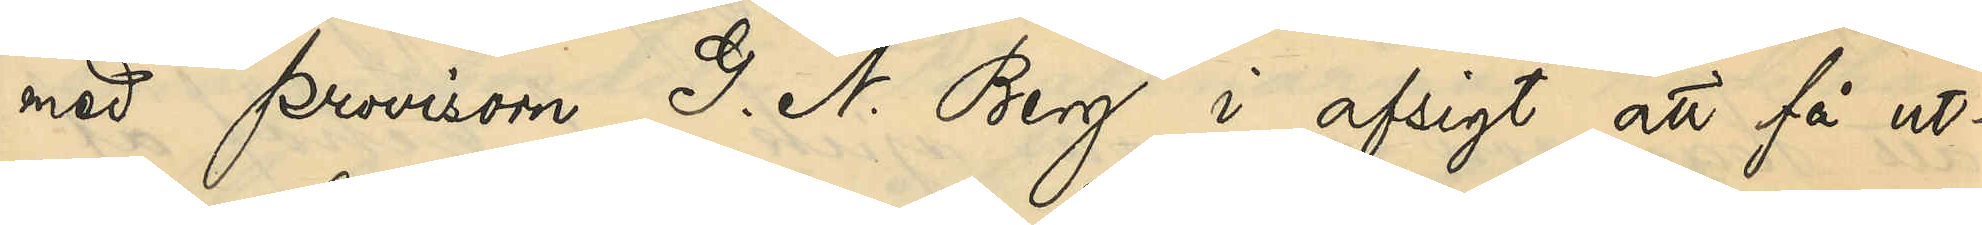med provisorn G. N. Berg i afsigt att få ut¬
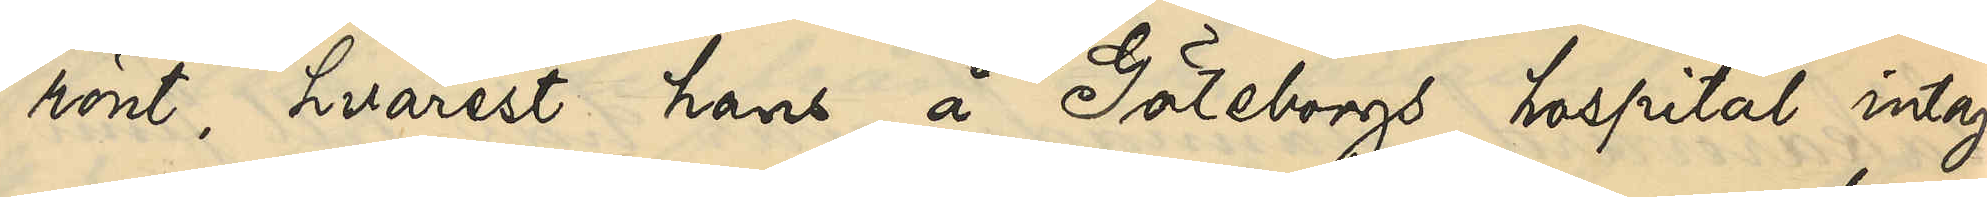rönt, hvarest han å Göteborgs hospital intag¬
